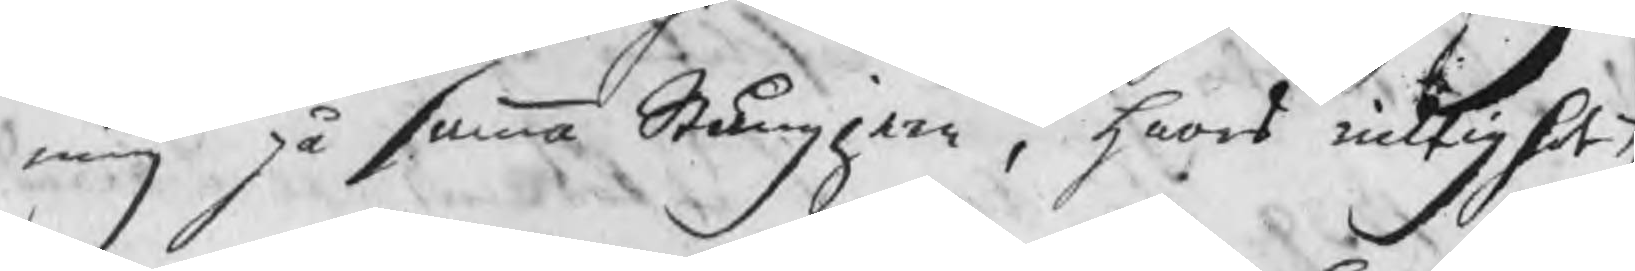ning på samma Stångjern , hwars ricktighet t
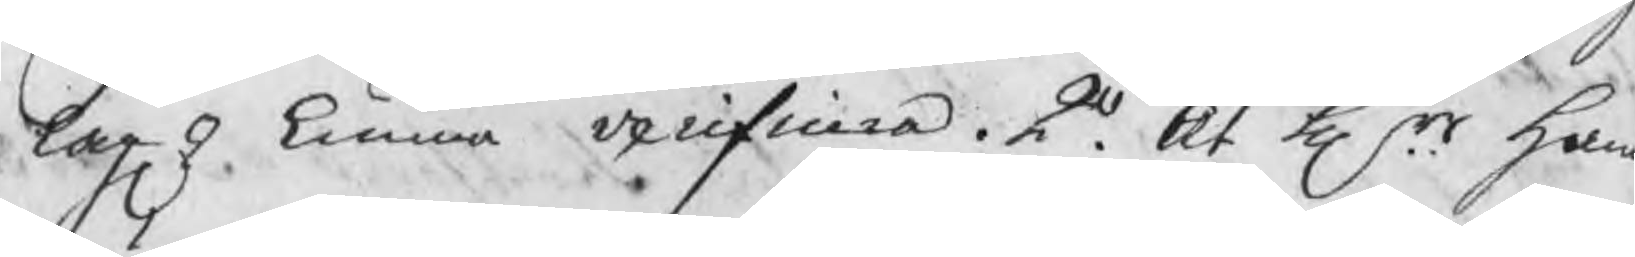lagel kunna verifiera. 2o. At Hrr han
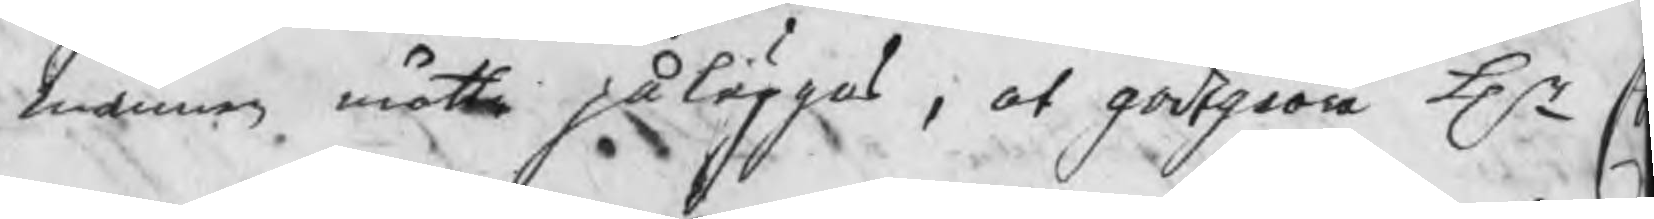männen måtte påläggas , at godtgiöra Hr C
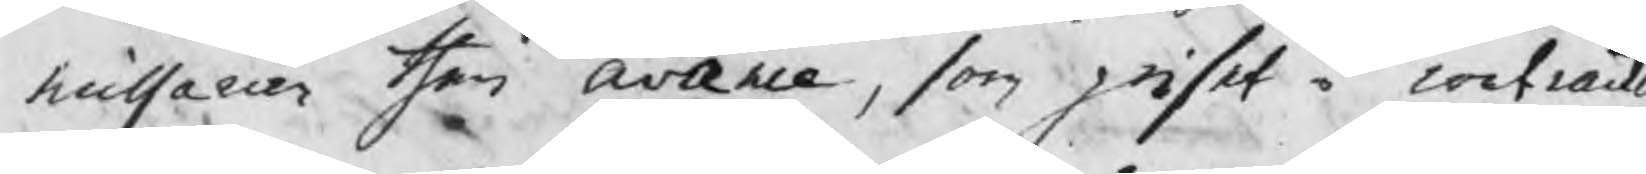missarien then avance, som priset i contract
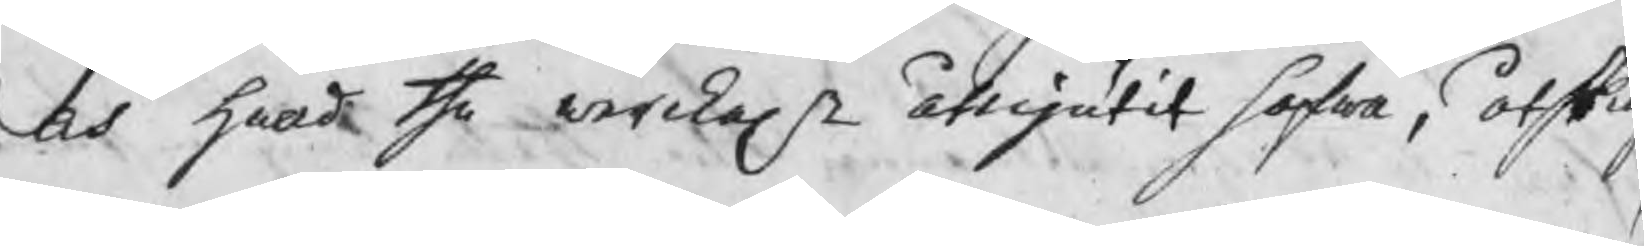och hwad the werckel åtnjutit hafwa, åtskil
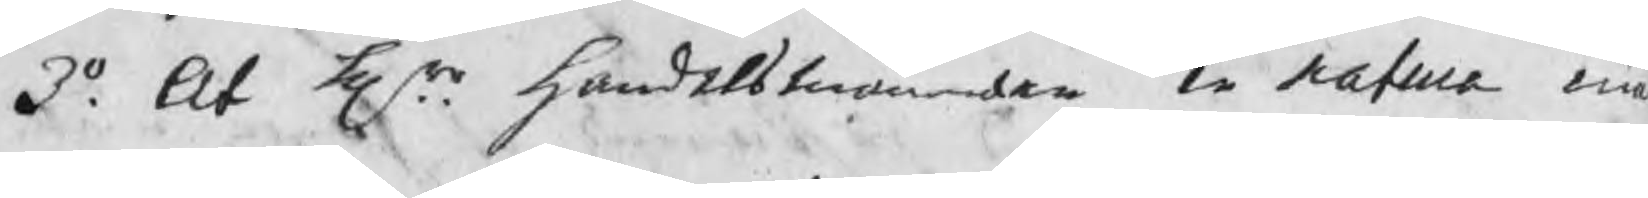3o. At Hrr handelsmännen in natura må
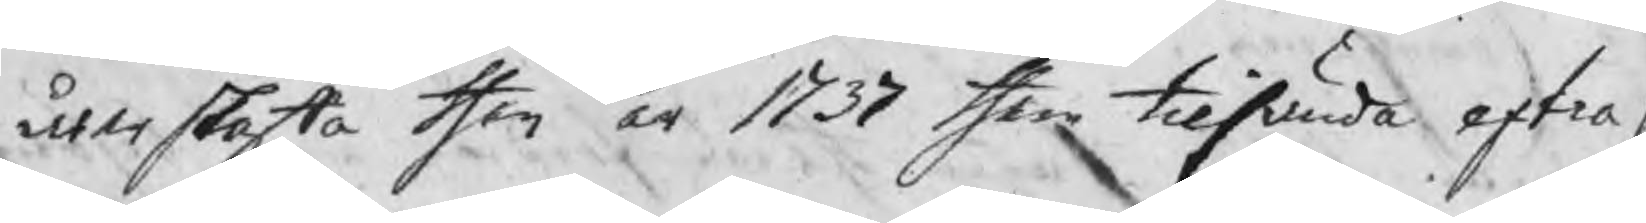återskaffa then år 1737 them tilsända extra p
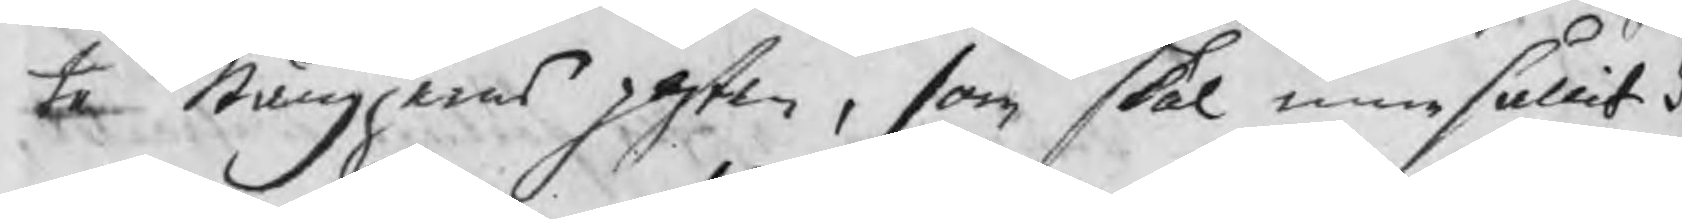te Stångjerns posten, som skal innehållit 5
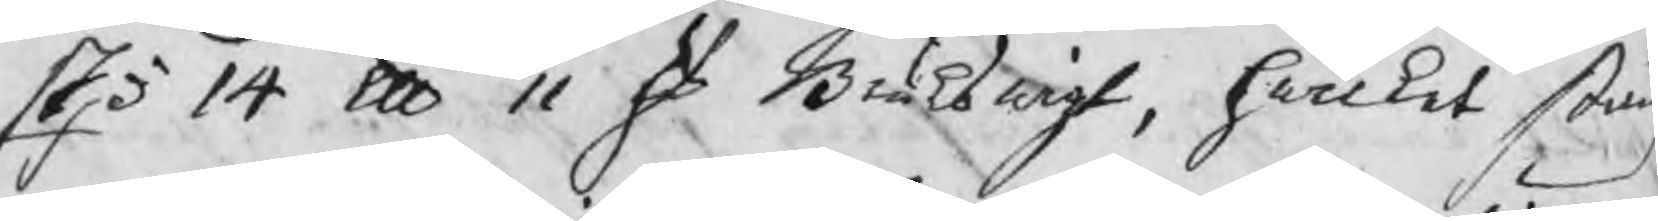Skp 14 u 11 ℔ Brukswigt, hwilket stång
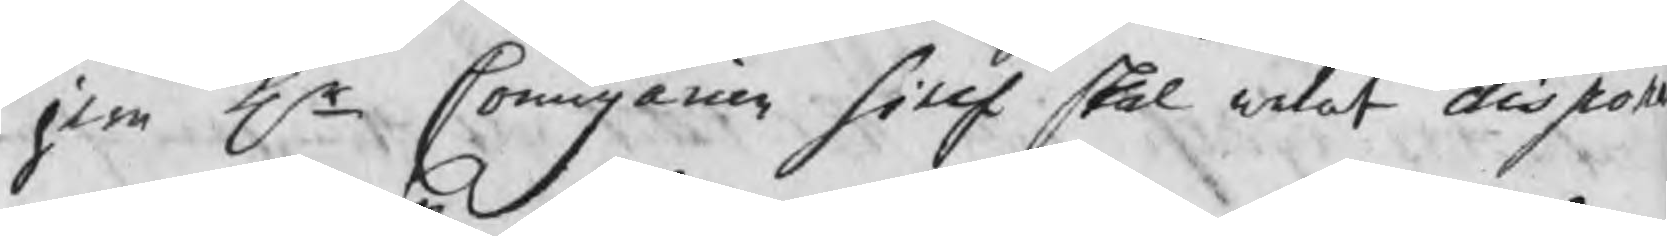jern Hr Commissarien sielf skal welat dispon
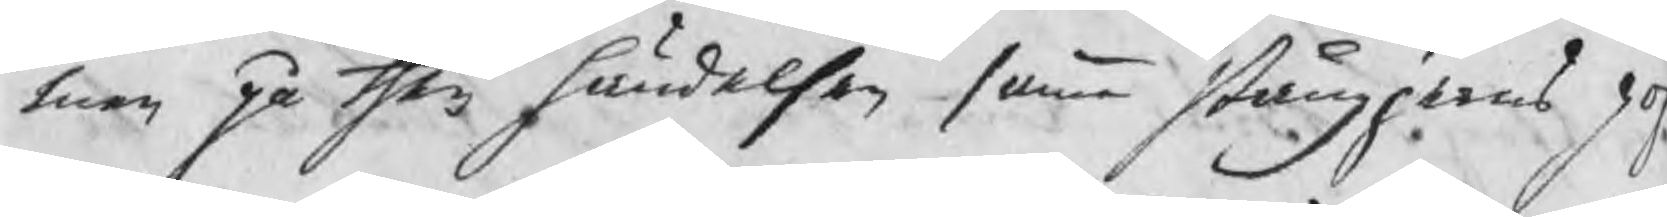men på then händelsen samma stångjerns po
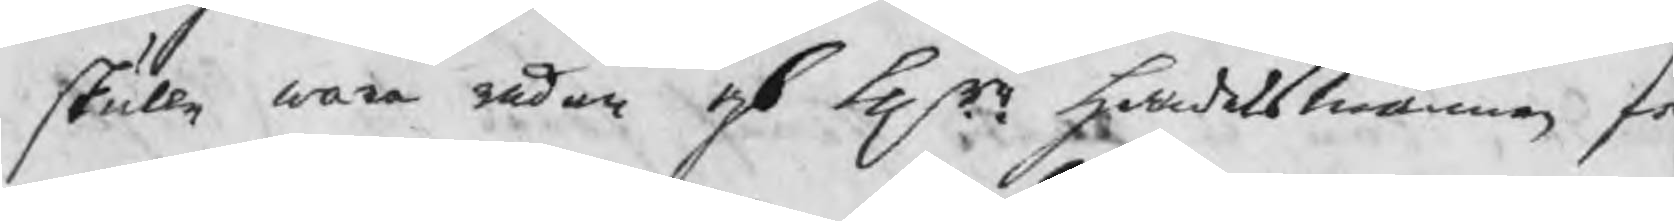skulle wara redan af Hrr handelsmännen f
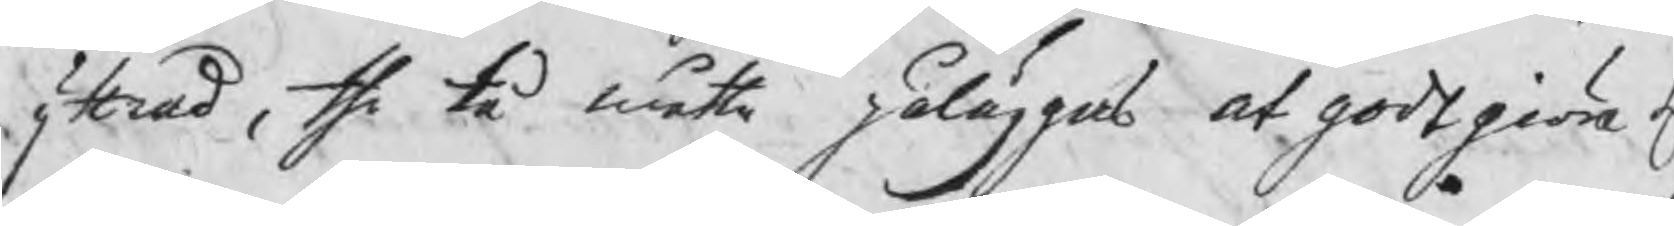yttrad, the tå måtte påläggas at godtgiöra H
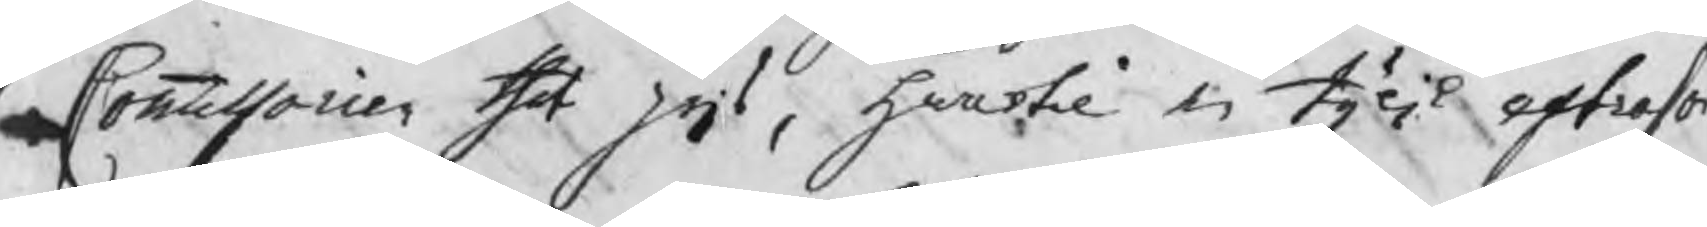Commissarien thet pris, hwartil en tylik extraso
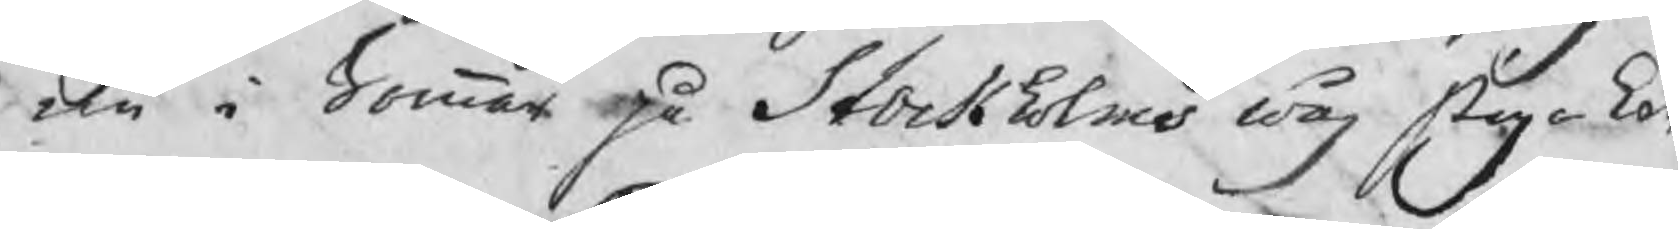nu i Sommar på Stockholms wåg stiga kan
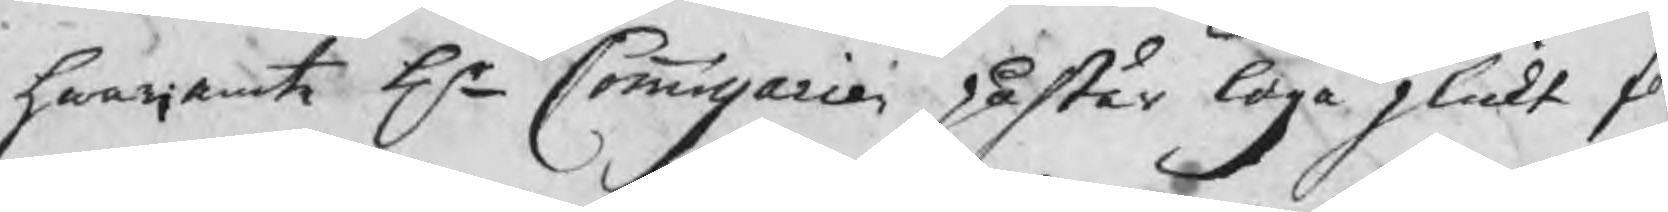hwarjemte Hr Commissarien påstår laga plickt f
